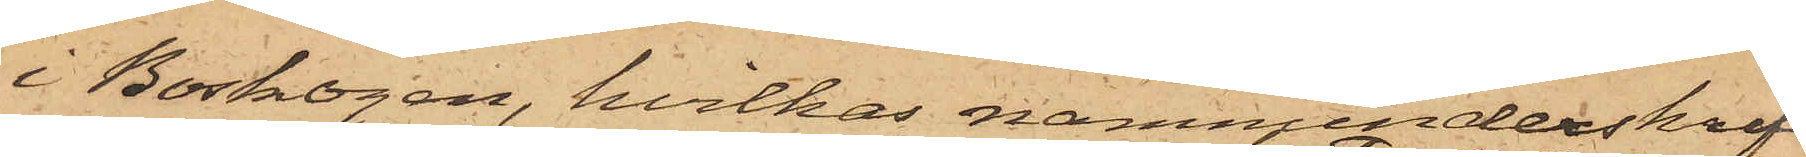i Boskogen, hvilkas namnunderskrift
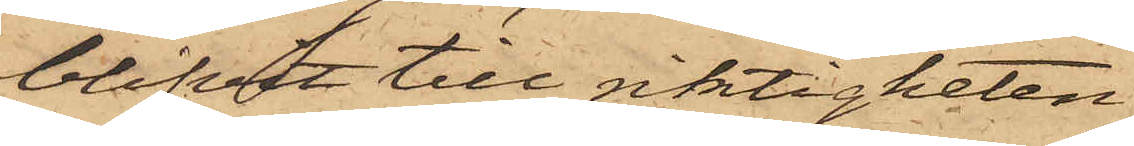blifvit till riktigheten
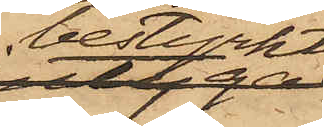bestyrkt
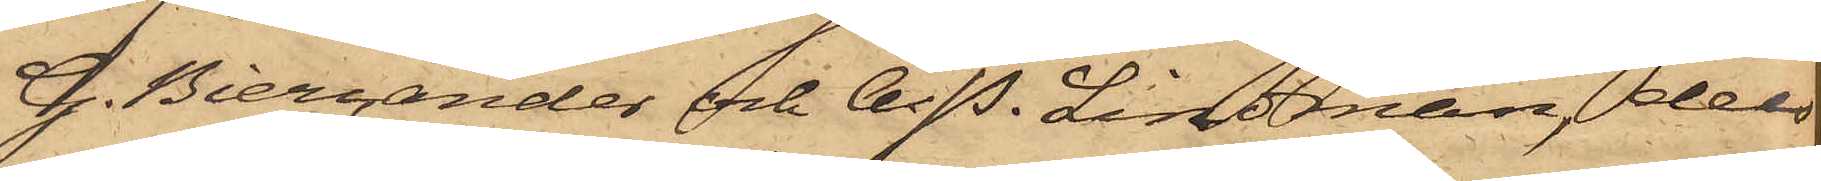G. Biercander och A. P. Lindman, dels
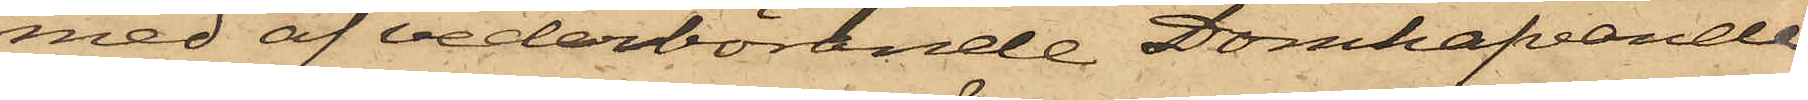med af vederbörande Domhafvande
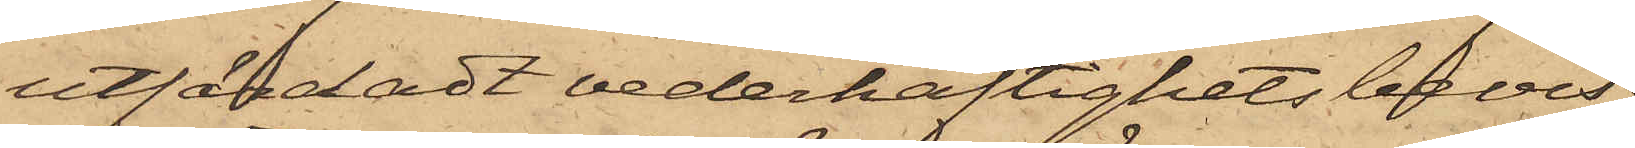utfärdadt vederhäftighetsbevis;
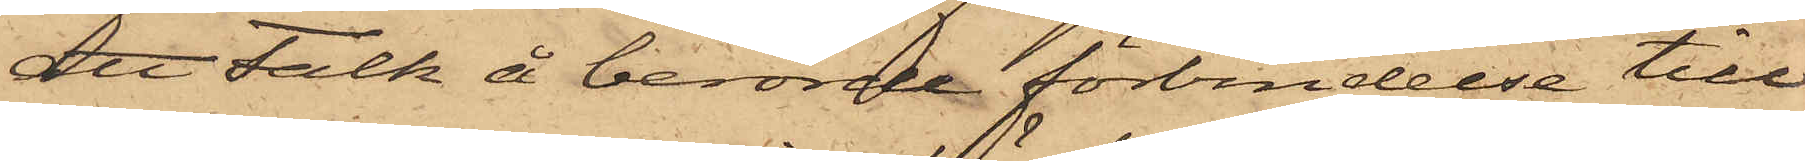att Falk å berörde förbindelse till
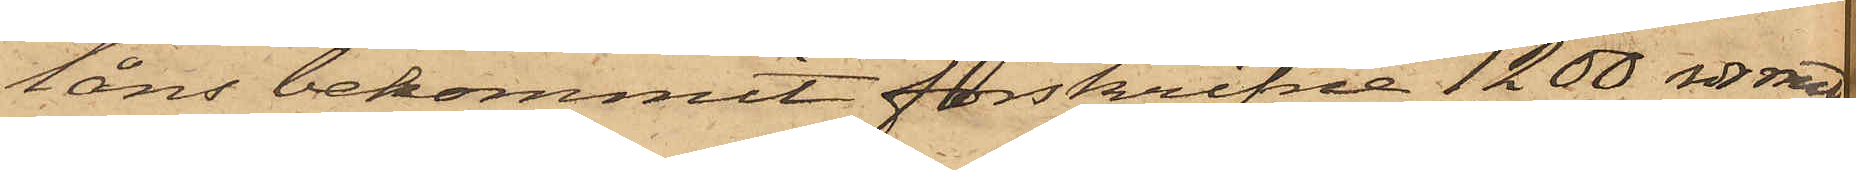låns bekommit förskrifne 1200 rdr rmt;
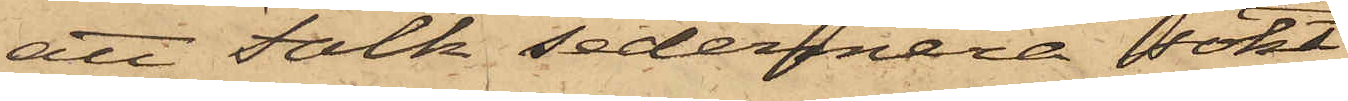att Falk sedermera sökt
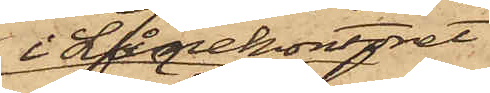i Lånekontoret
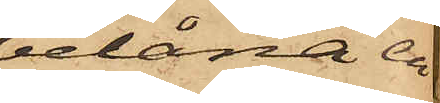belåna en
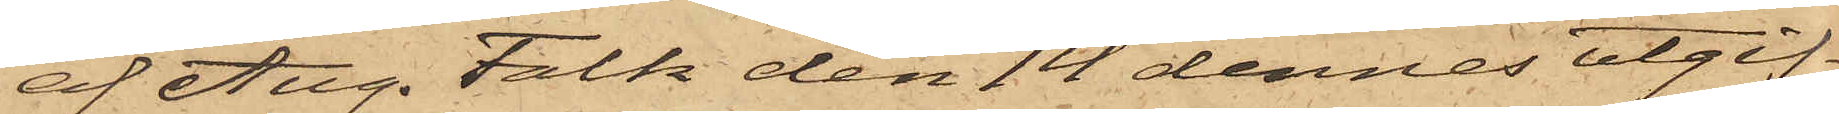af Aug. Falk den 14 dennes utgif¬
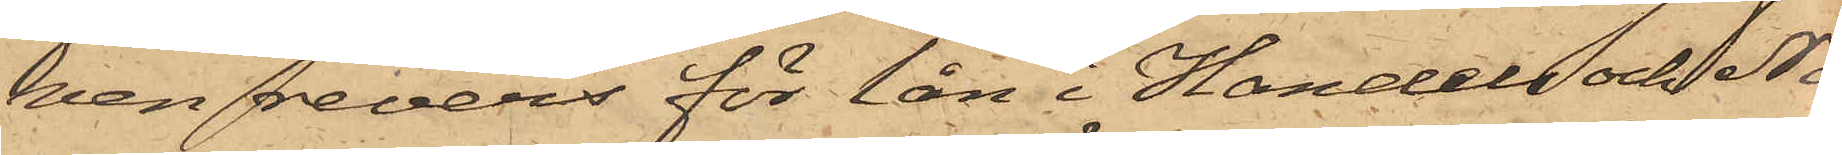ven revers för lån i Handels och Nä¬
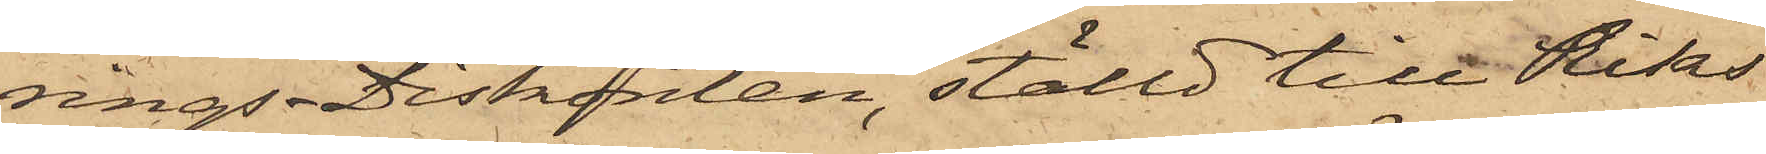rings-Diskonten, ställd till Riks¬
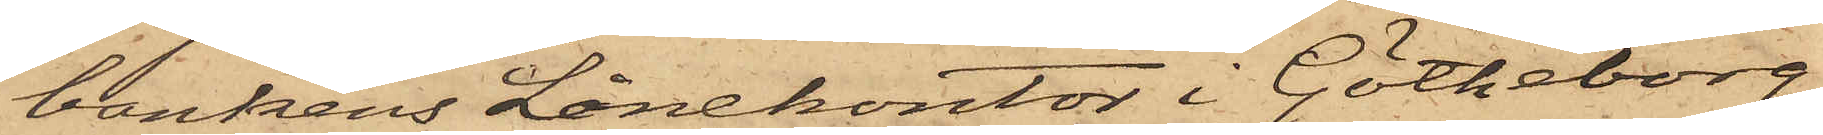bankens Lånekontor i Götheborg
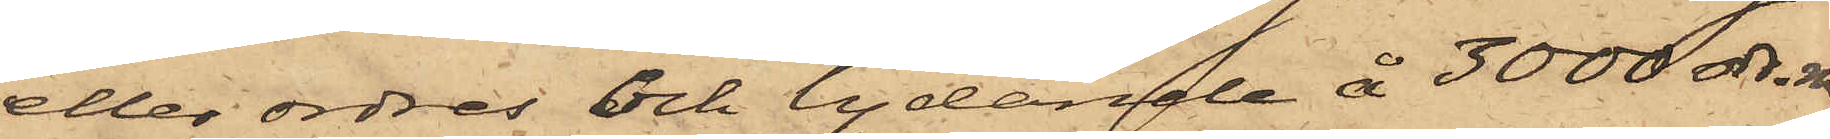eller ordres och lydande å 3000 rdr. rmt
